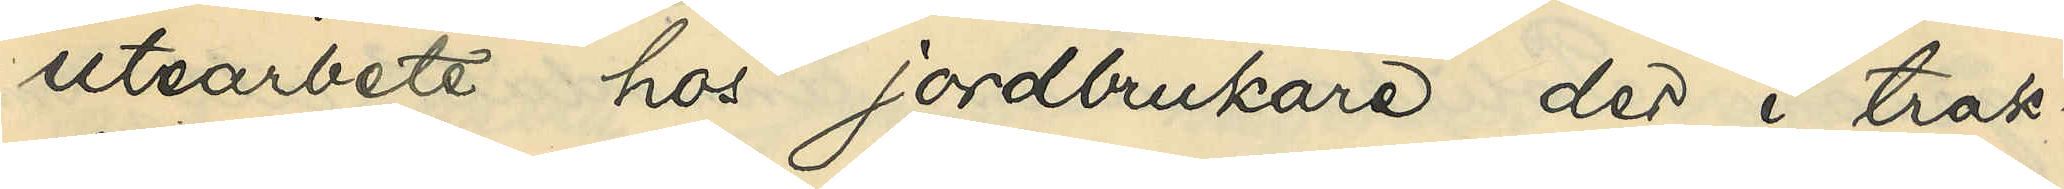utearbete hos jordbrukare der i trak¬
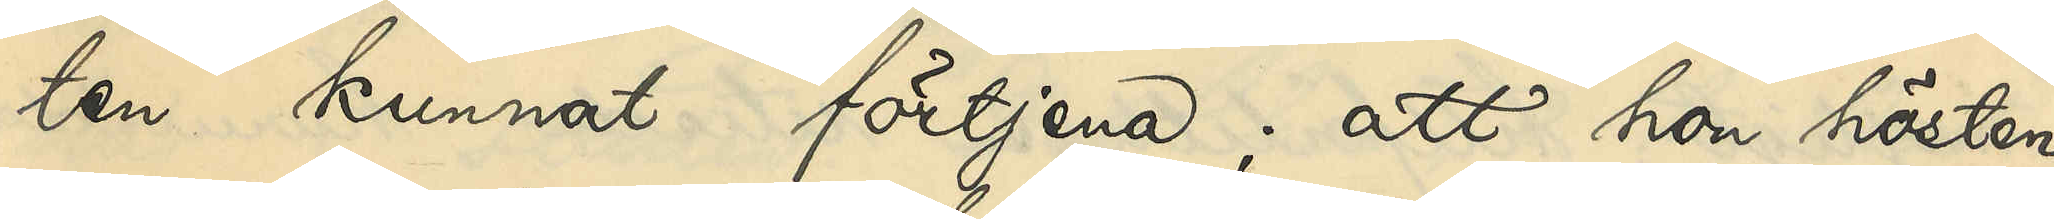ten kunnat förtjena; att hon hösten
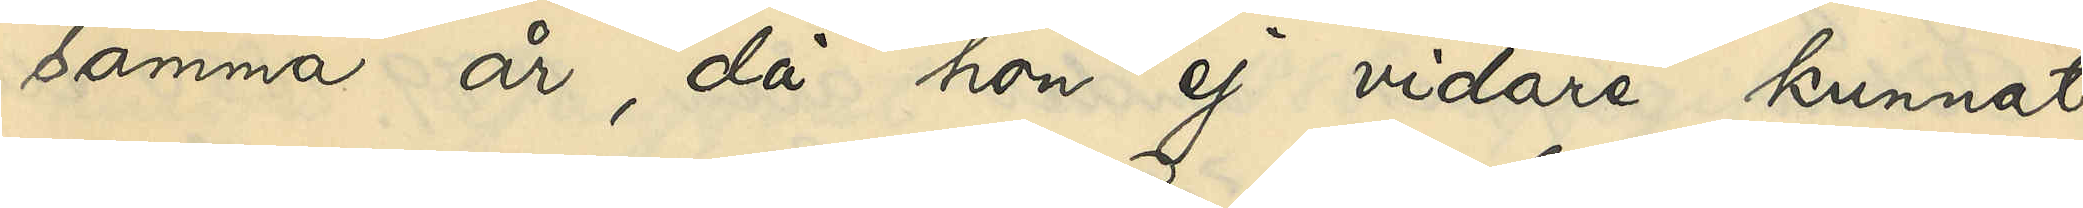samma år, då hon ej vidare kunnat
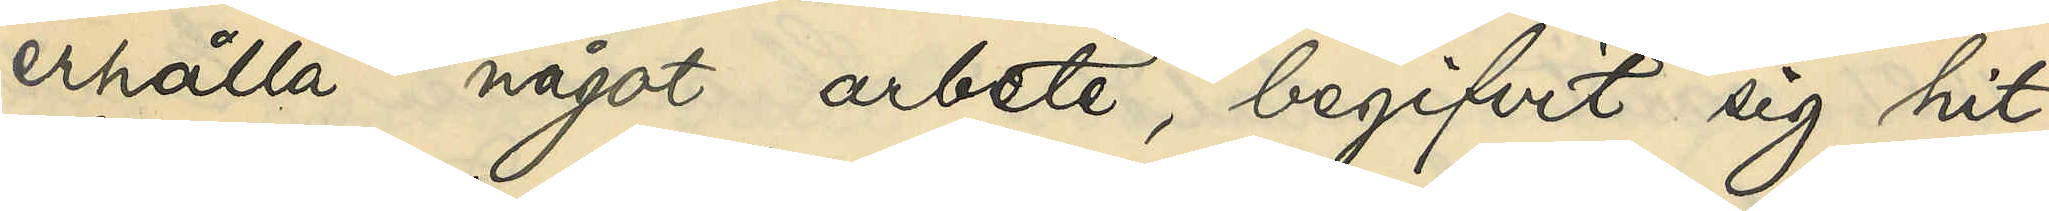erhålla något arbete, begifvit sig hit
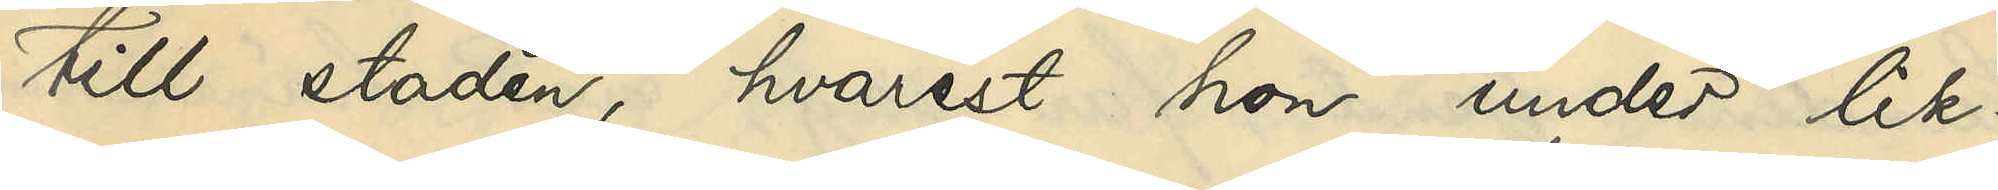till staden, hvarest hon under lik¬
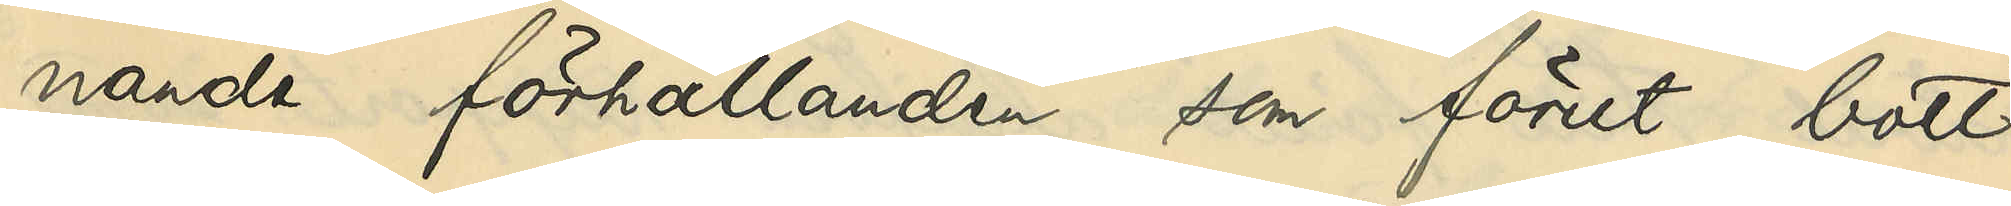nande förhållanden som förut bott
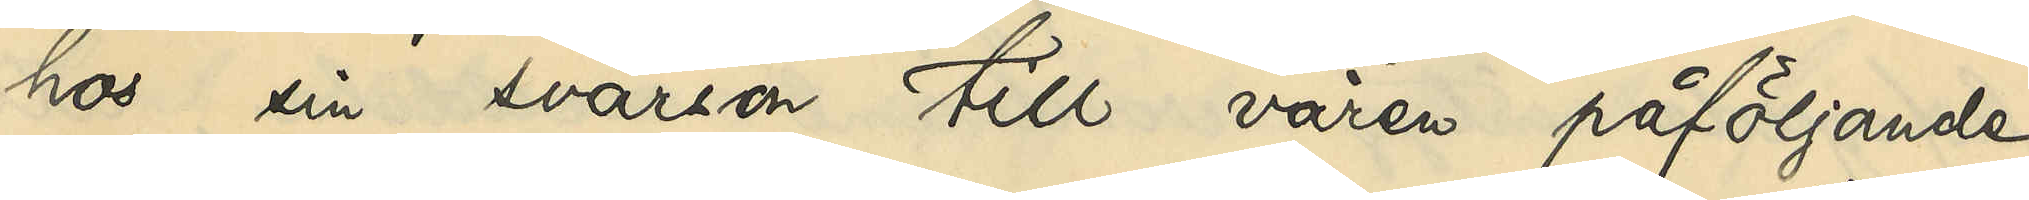hos sin svärson till våren påföljande
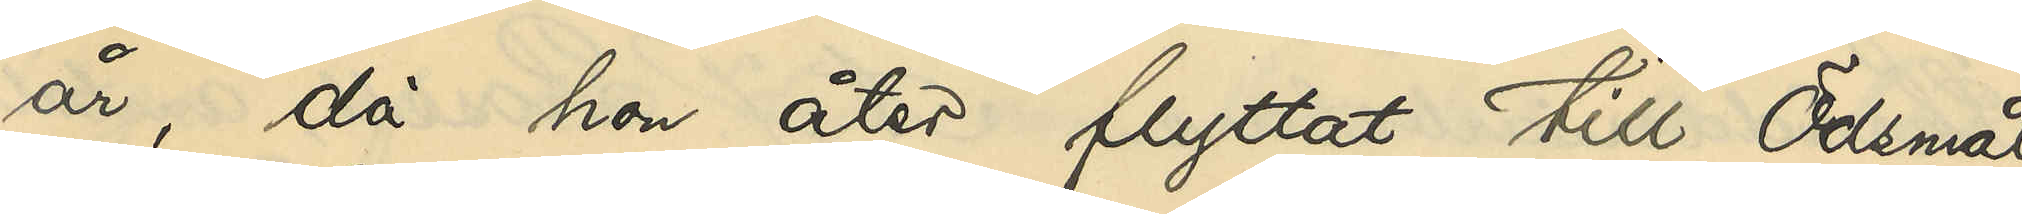år, då hon åter flyttat till Ödsmål;
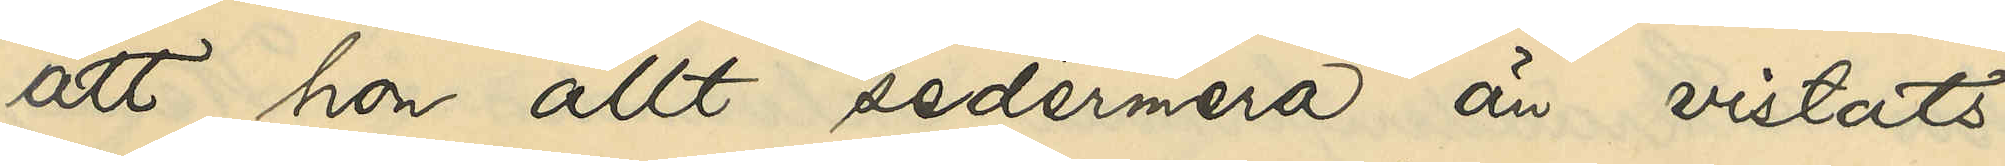att hon allt sedermera än vistats
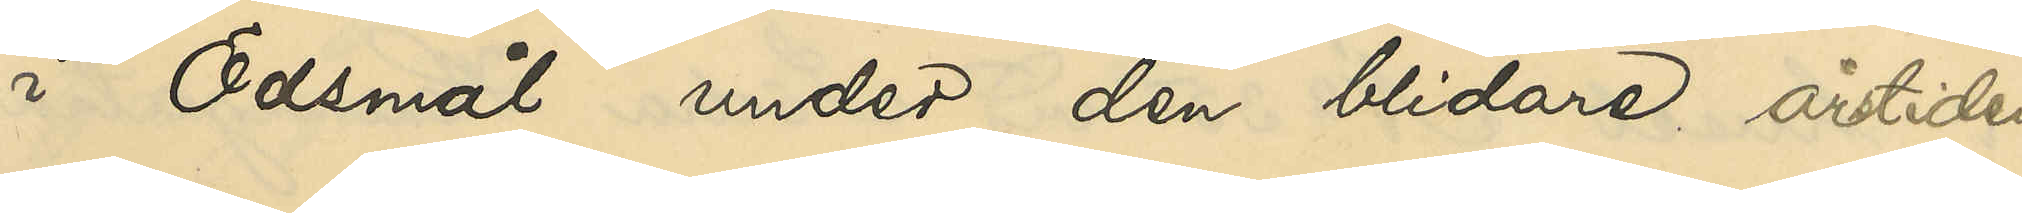i Ödsmål under den blidare årstiden
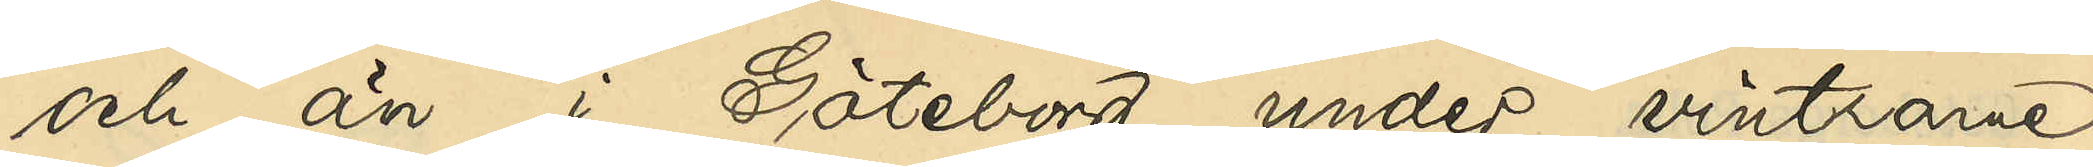och än i Göteborg under vintrarne,
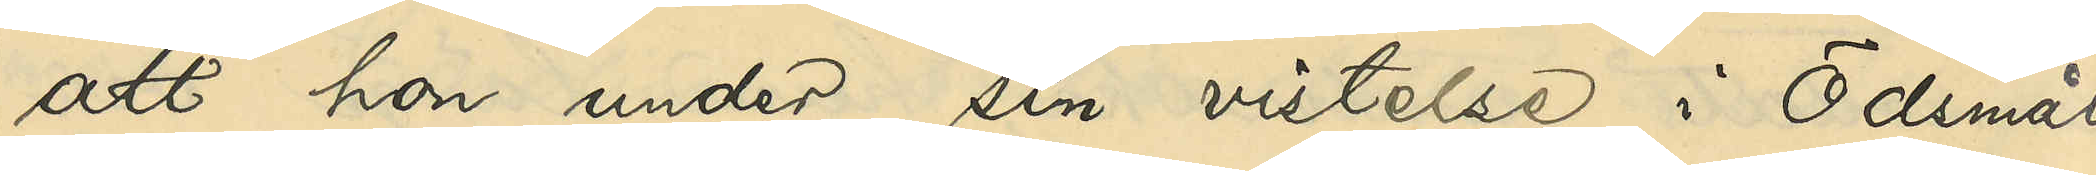att hon under sin vistelse i Ödsmål
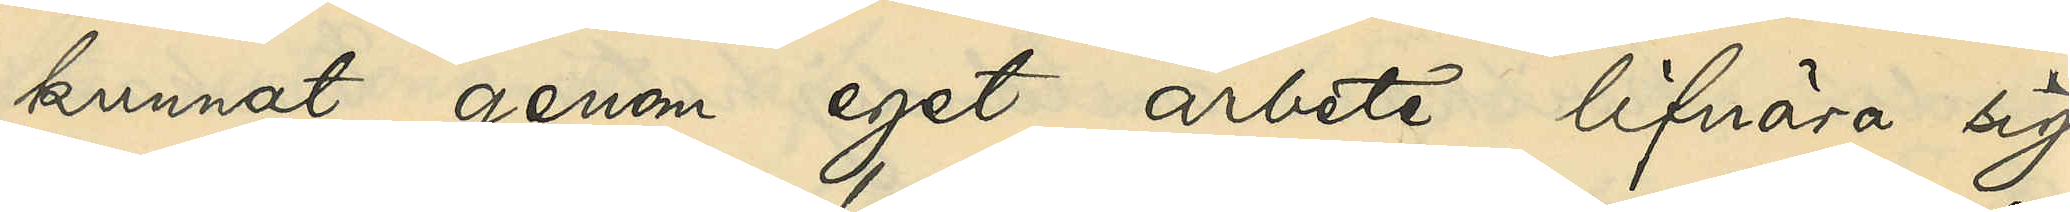kunnat genom eget arbete lifnära sig,
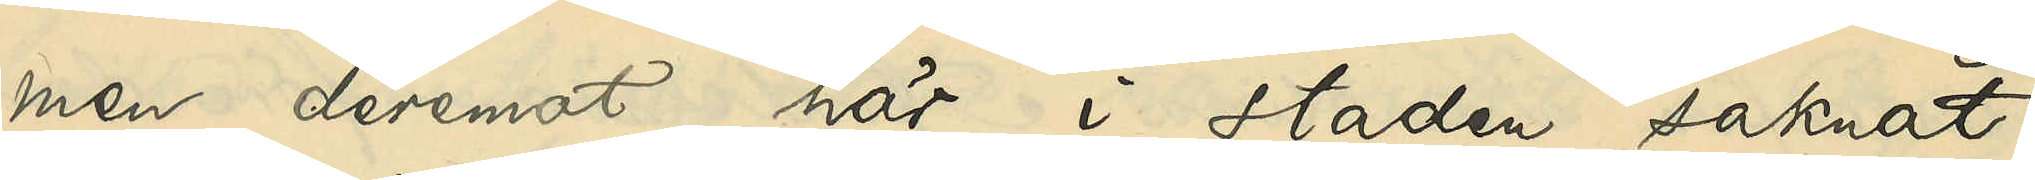men deremot här i staden saknat
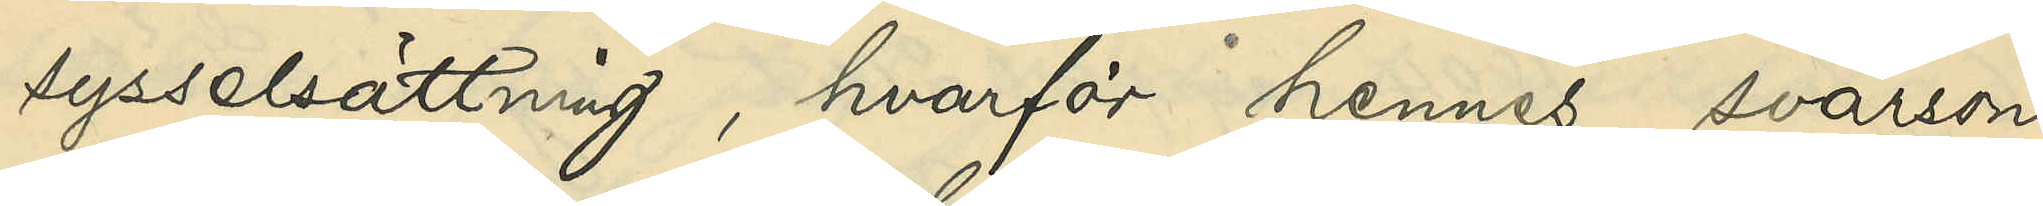sysselsättning, hvarför hennes svärson
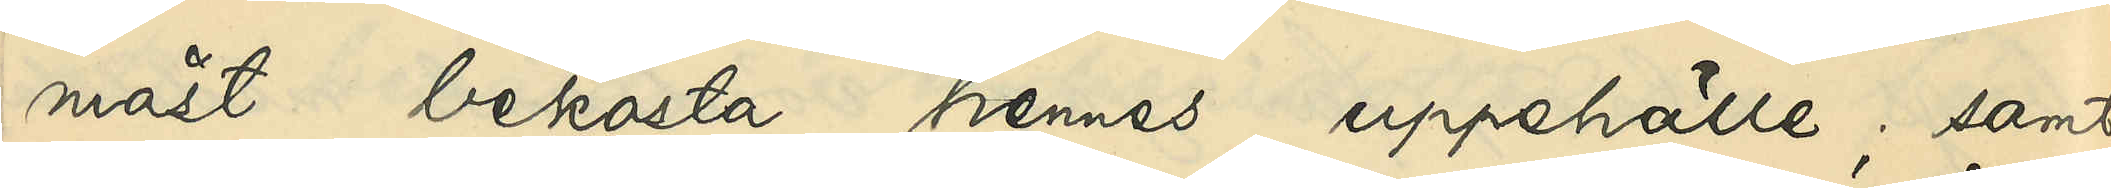måst bekosta hennes uppehälle; samt
